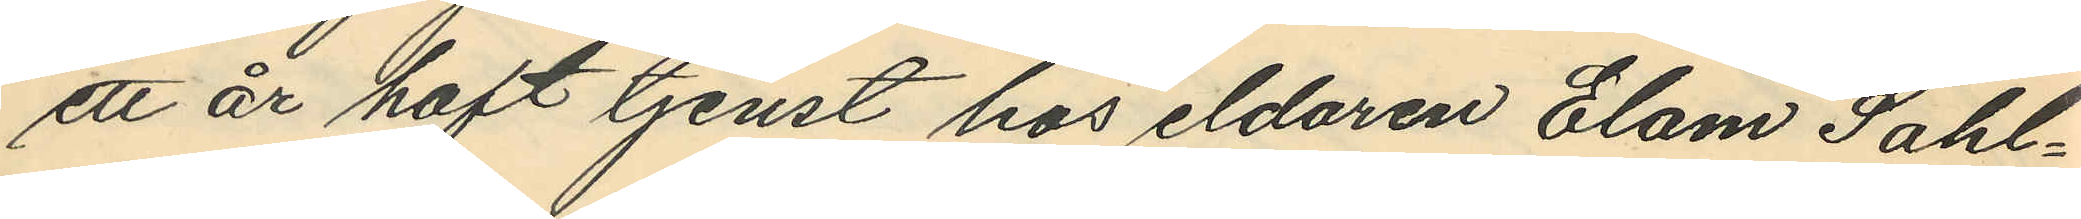ett år haft tjenst hos eldaren Elam Sahl¬
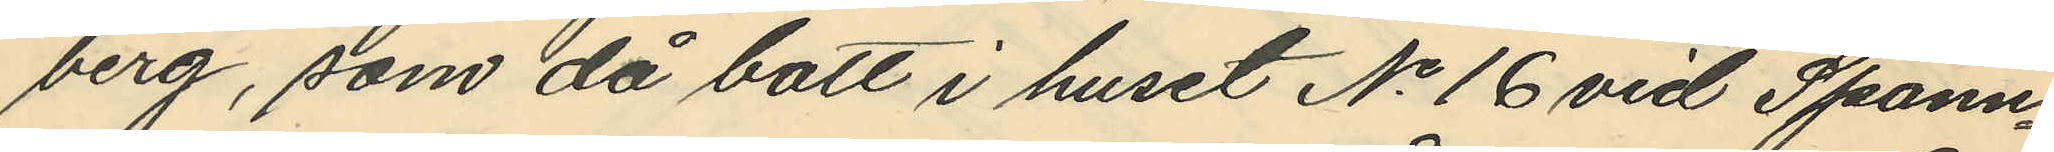berg, som då bott i huset No 16 vid Spann¬
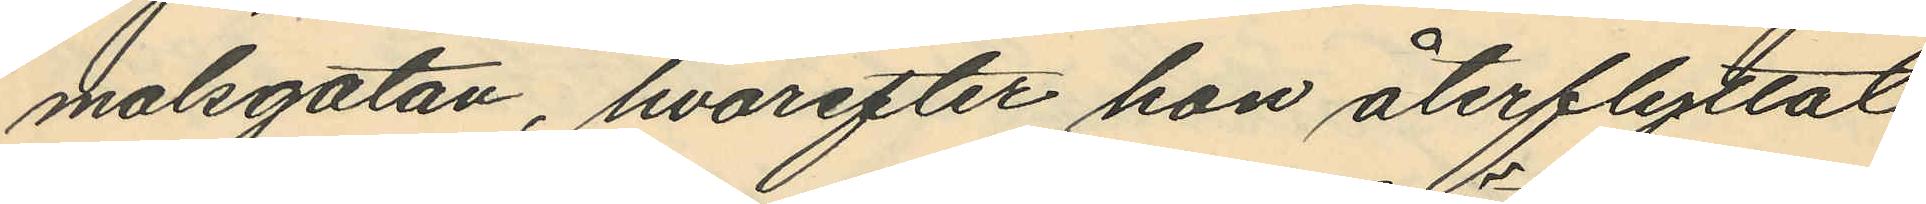målsgatan, hvarefter hon återflyttat
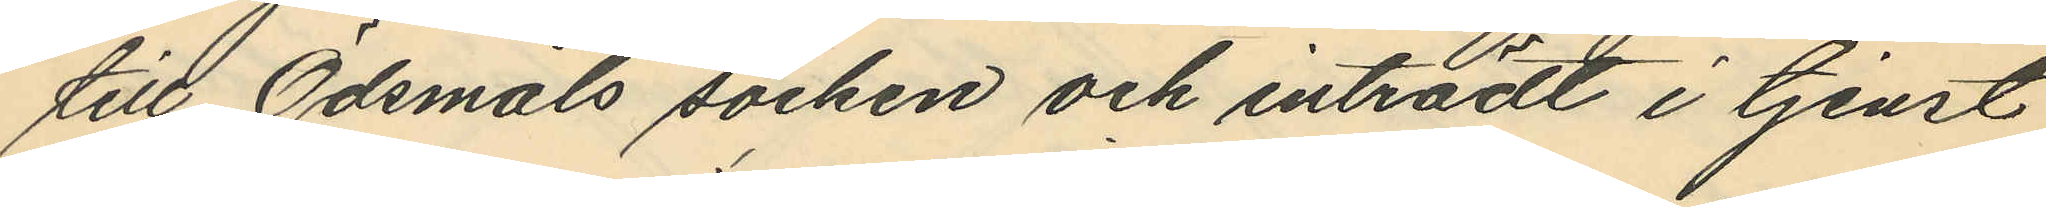till Ödsmåls socken och inträdt i tjenst
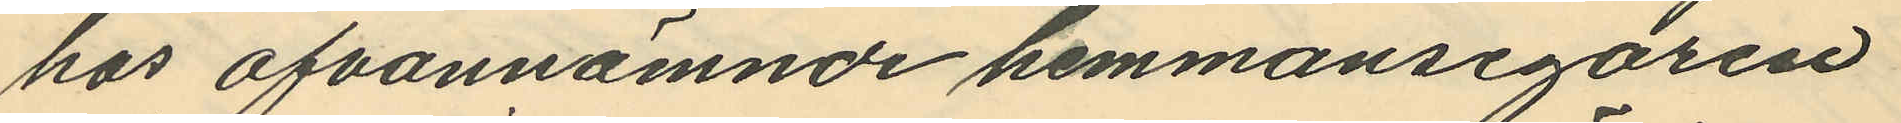hos ofvannämnde hemmansegaren
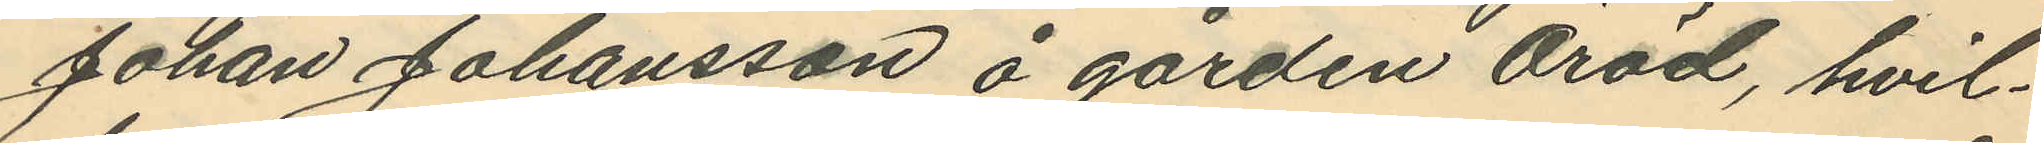Johan Johansson å gården Öröd, hvil¬
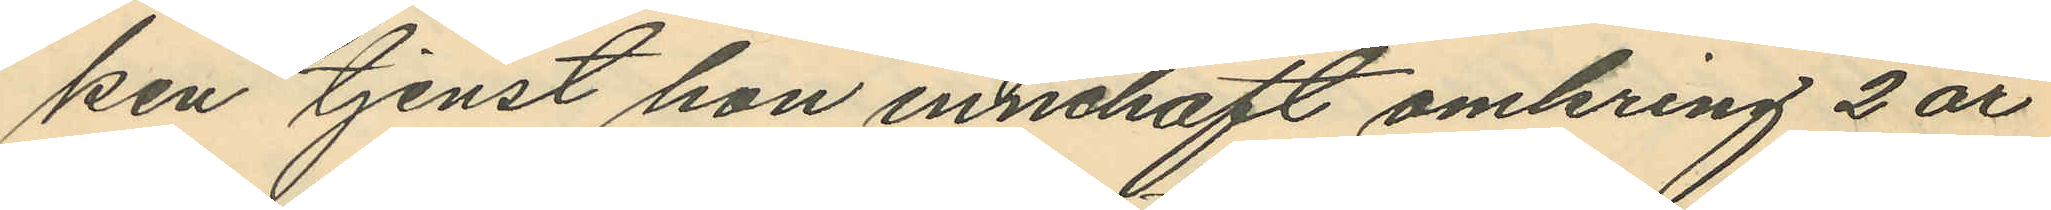ken tjenst hon innehaft omkring 2 år
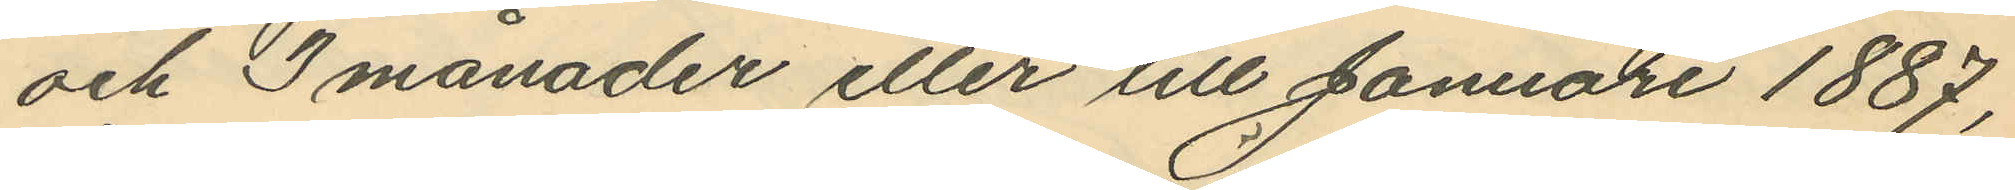och 3 månader eller till Januari 1887,
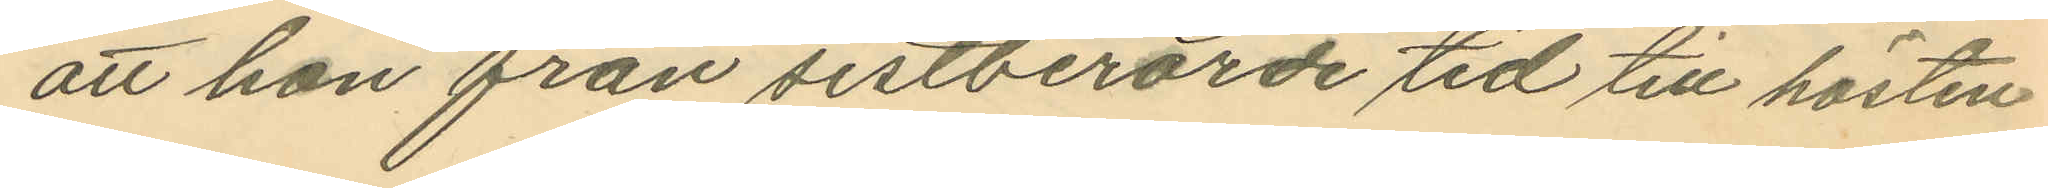att han från sistberörde tid till hösten
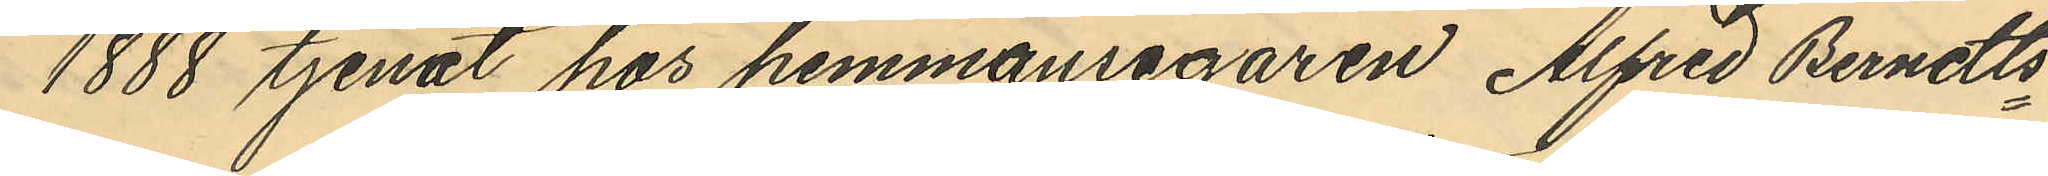1888 tjenat hos hemmansegaren Alfred Berndts¬
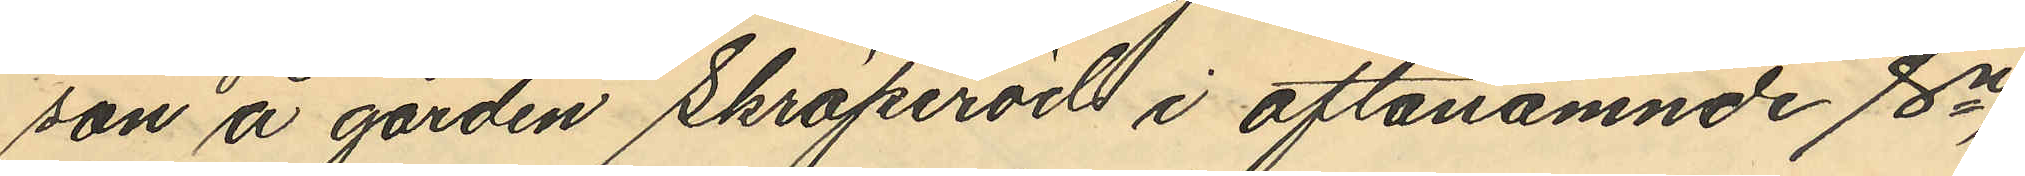son å gården Skräperöd i oftanämnde sn,
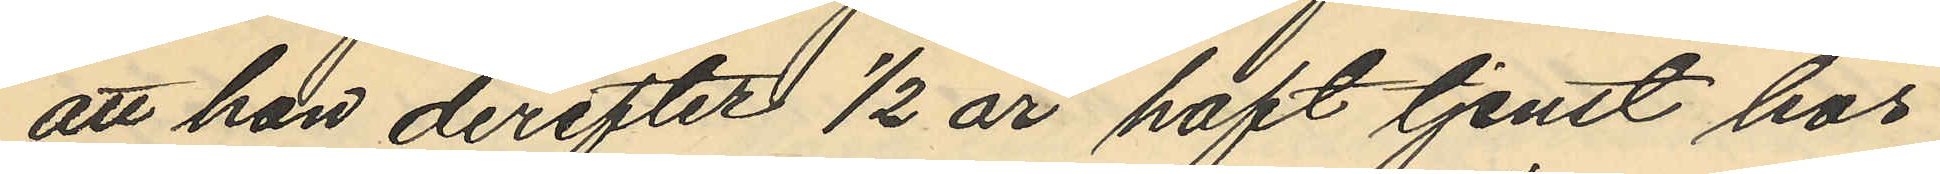att hon derefter ½ år haft tjenst hos
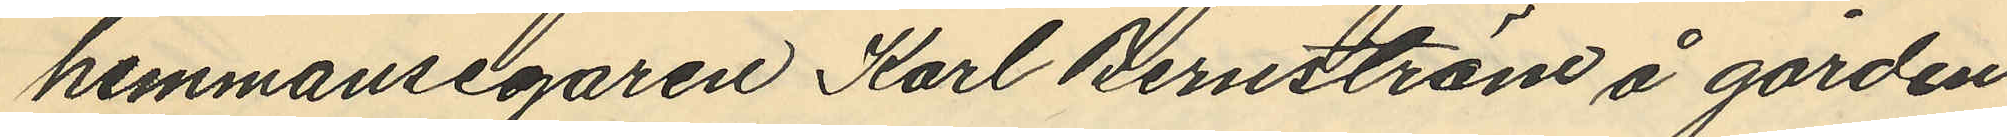hemmansegaren Karl Bernström å gården
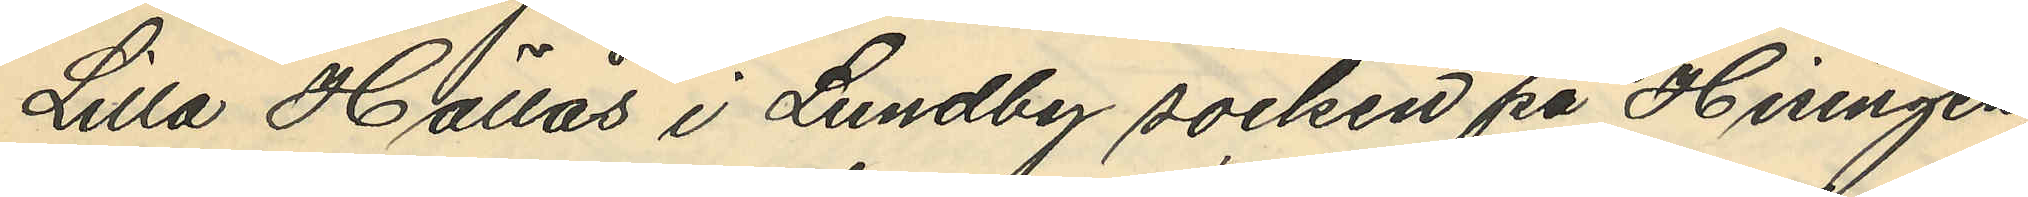Lilla Hällås i Lundby socken på Hisingen
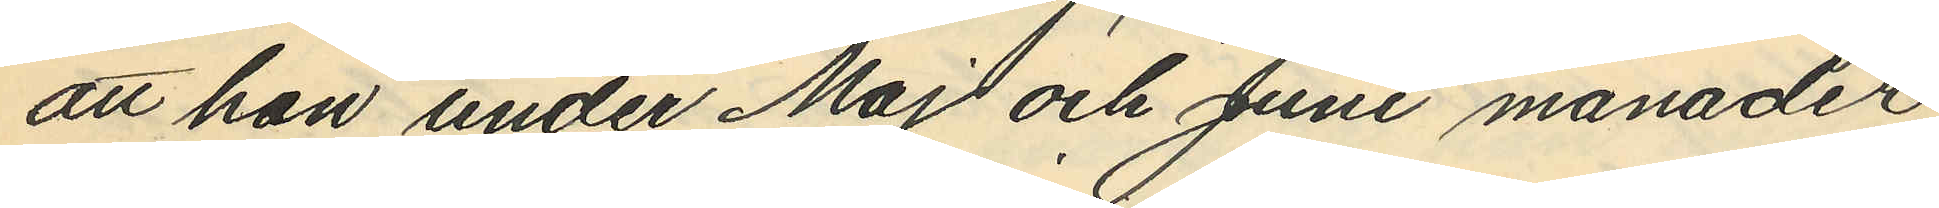att hon under Maj och Juni månader
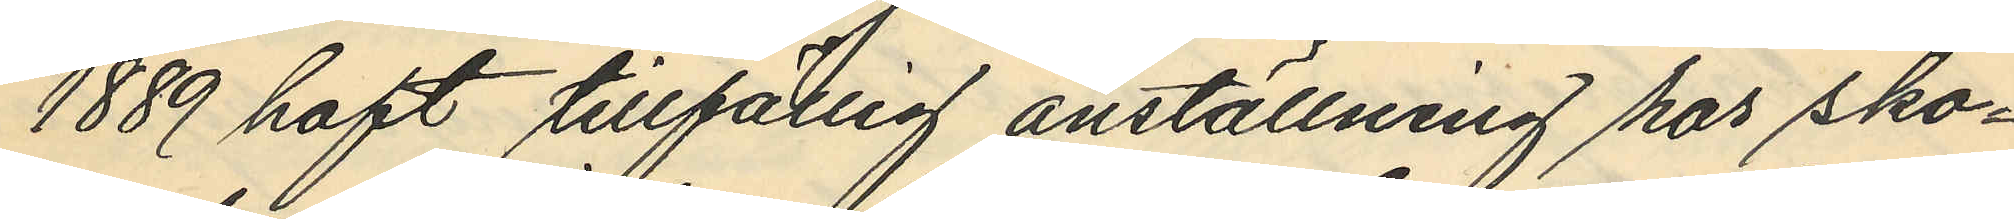1889 haft tillfällig anställning hos sko¬
